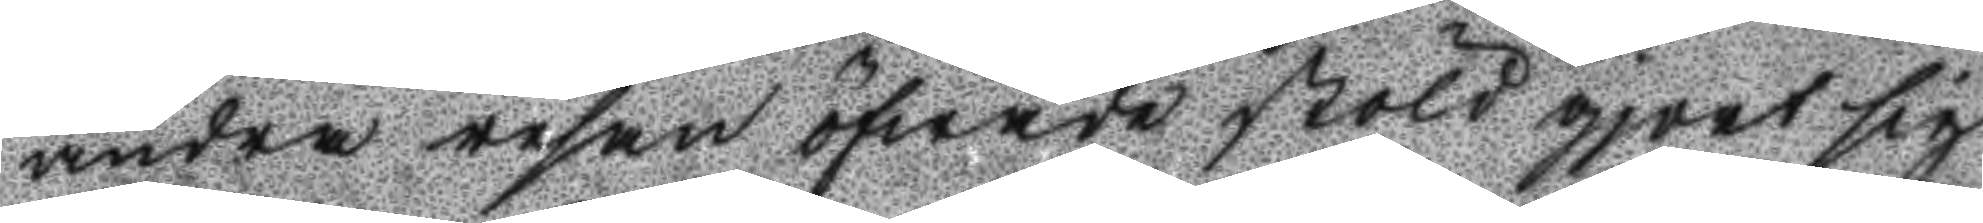andra resan öfwade stöld gjort sig
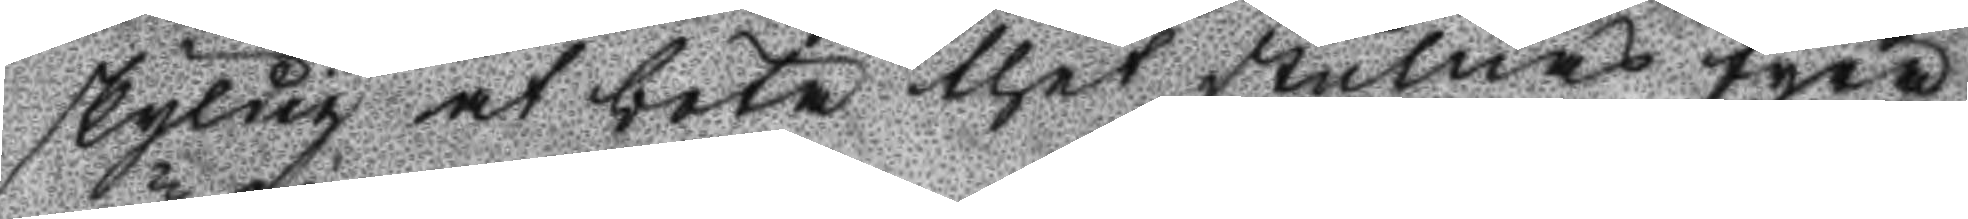skyldig at böta thet stulnas fyra
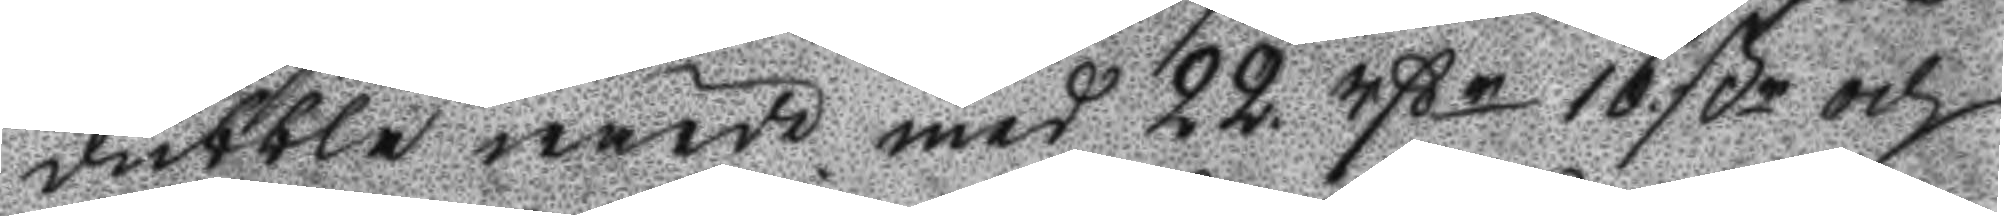dubbla wärdi med 22 rßr 16 ßr och 
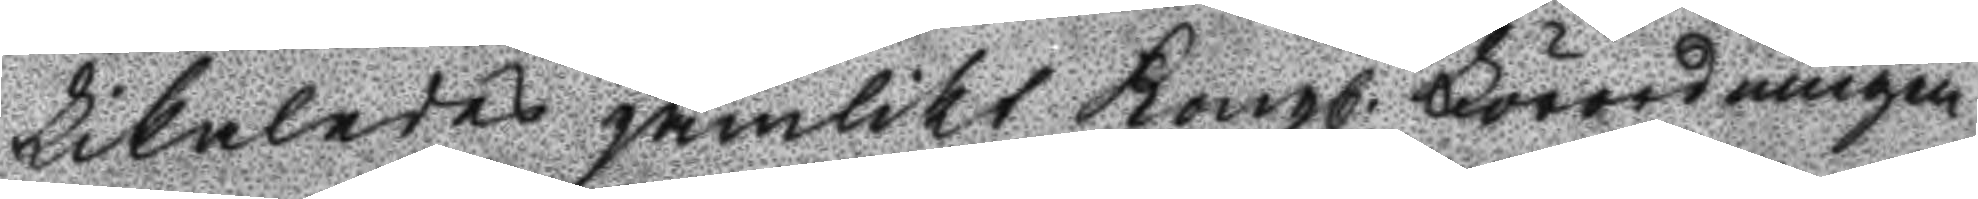Likaledes jämlikt Kongl. Förordningen 
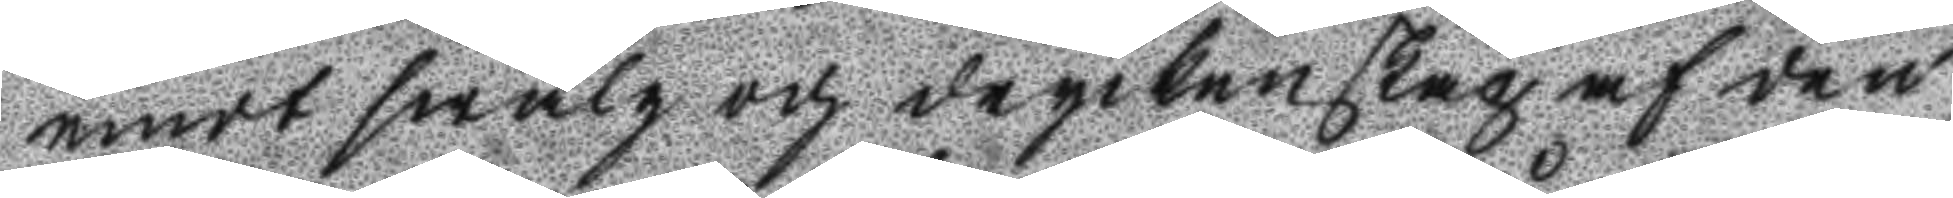emot swalg och dryckenskap af den
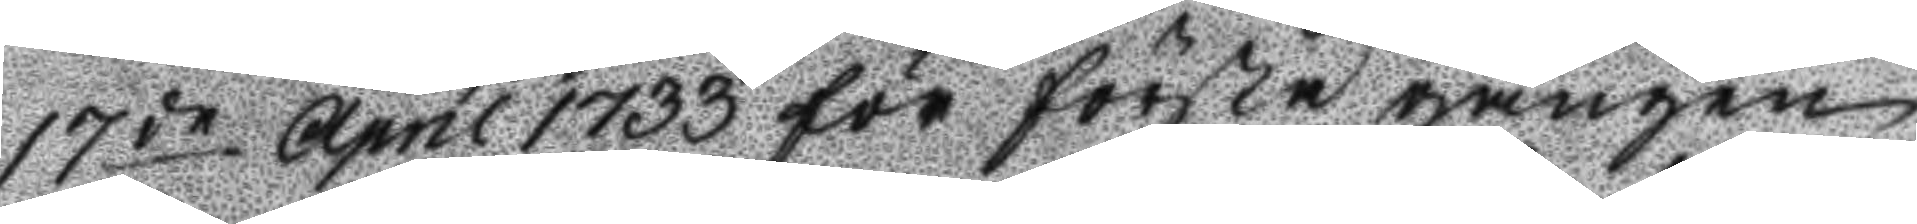17de April 1733 för första gången
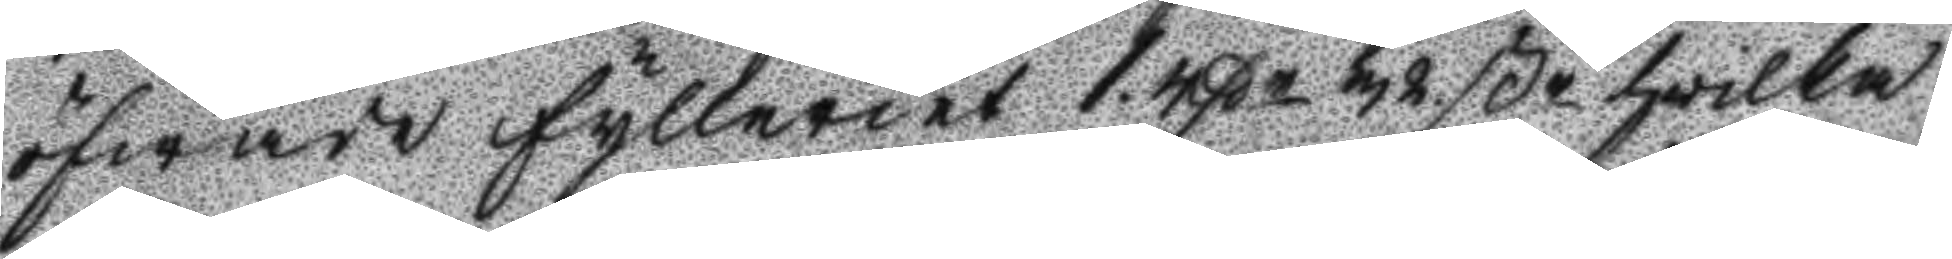öfwade fylleriet 1 rßr 32 ßr hvilka
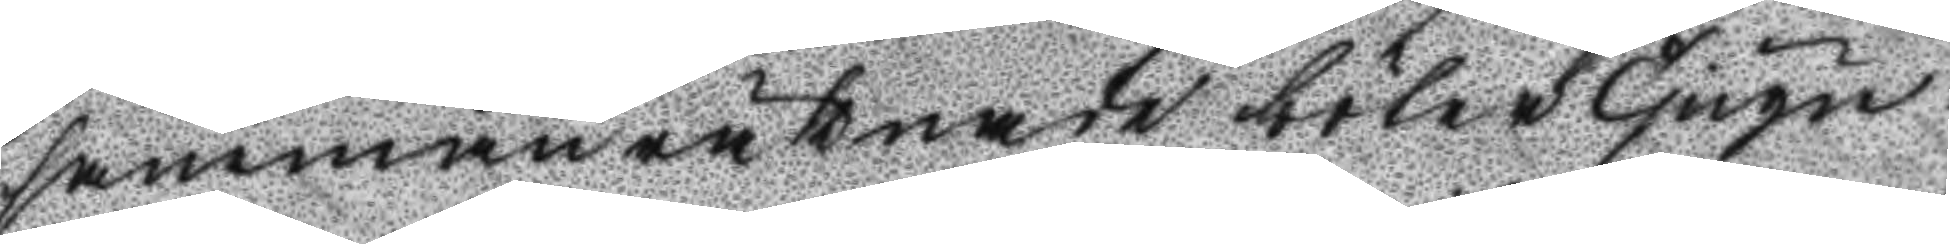sammanräknade böter Tjugu¬
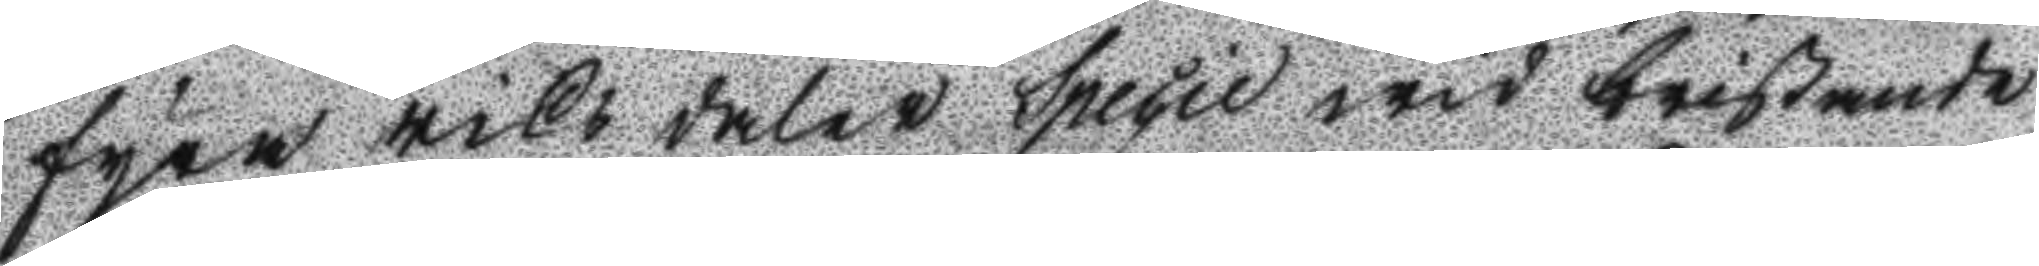fyra riks daler Specie wid bristande
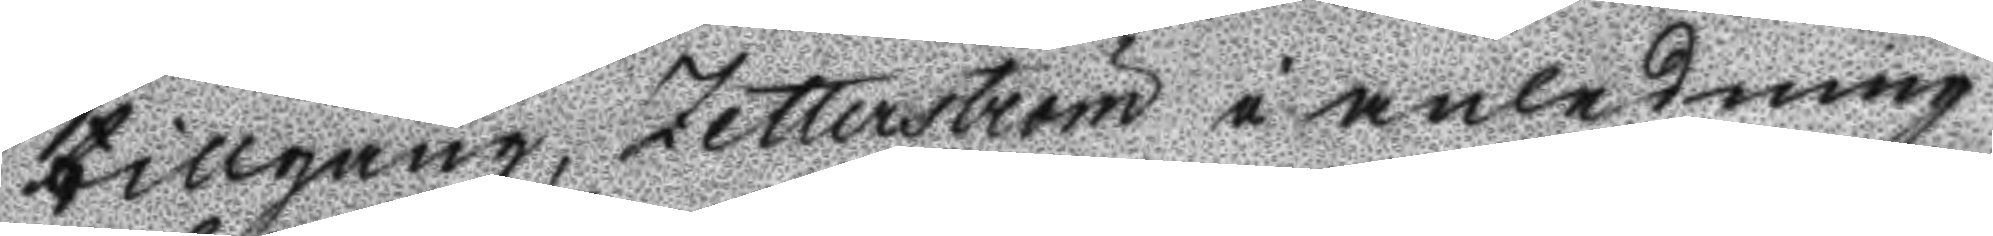tillgång, Zetterström i anledning
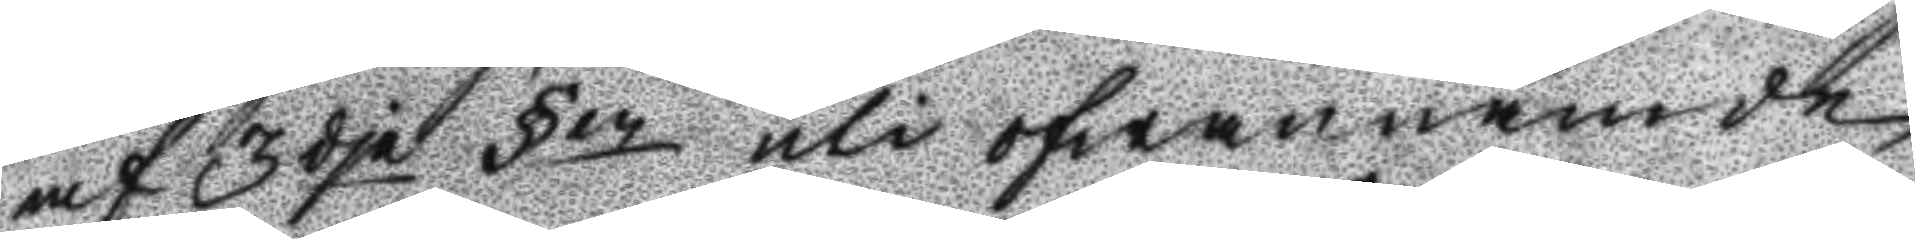af 3dje §en uti ofwannämde
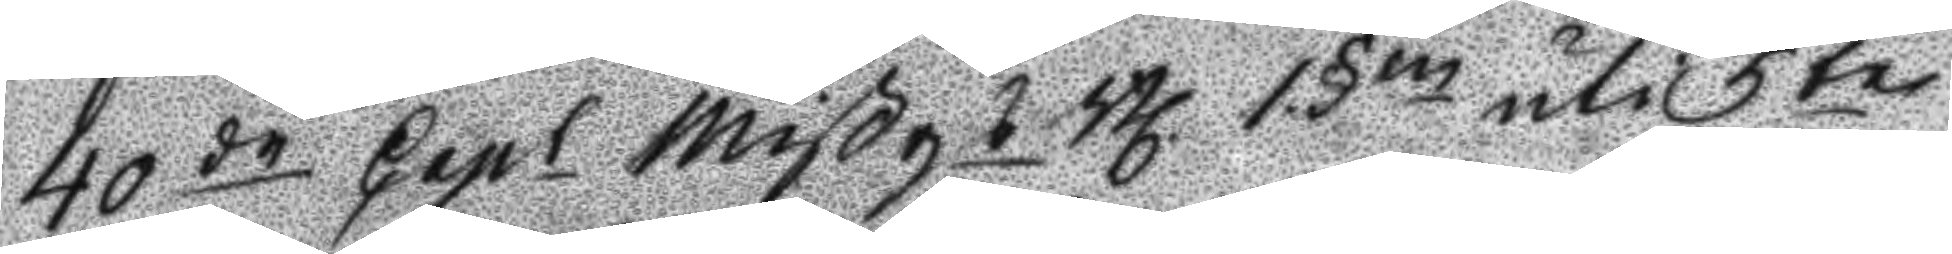40de Capl Mißgs Bl 1 §en uti 5te
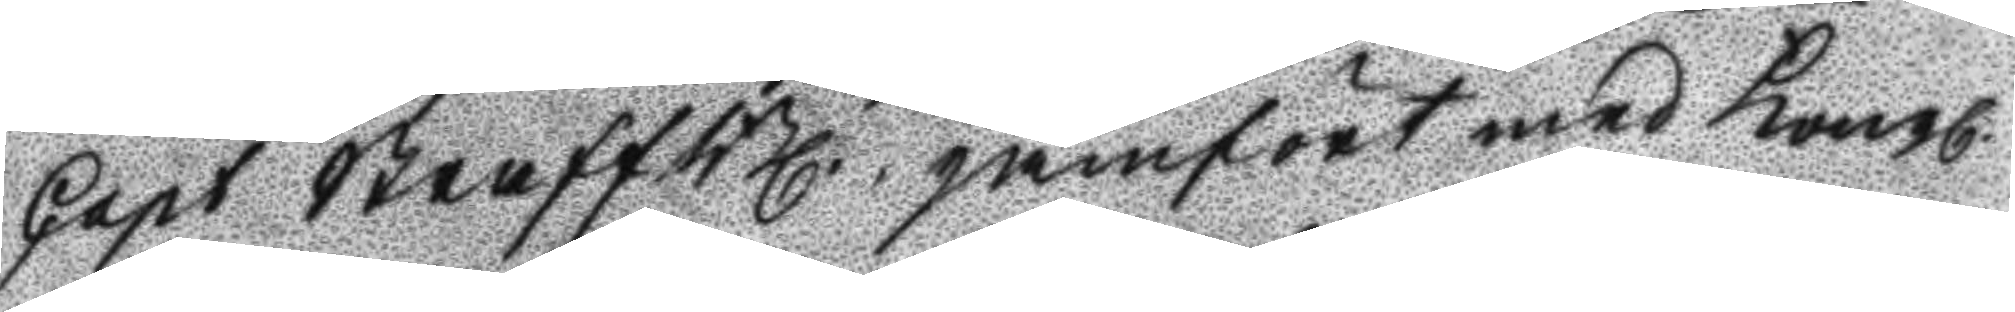Capt StraffBl. jämfört med Kongl.
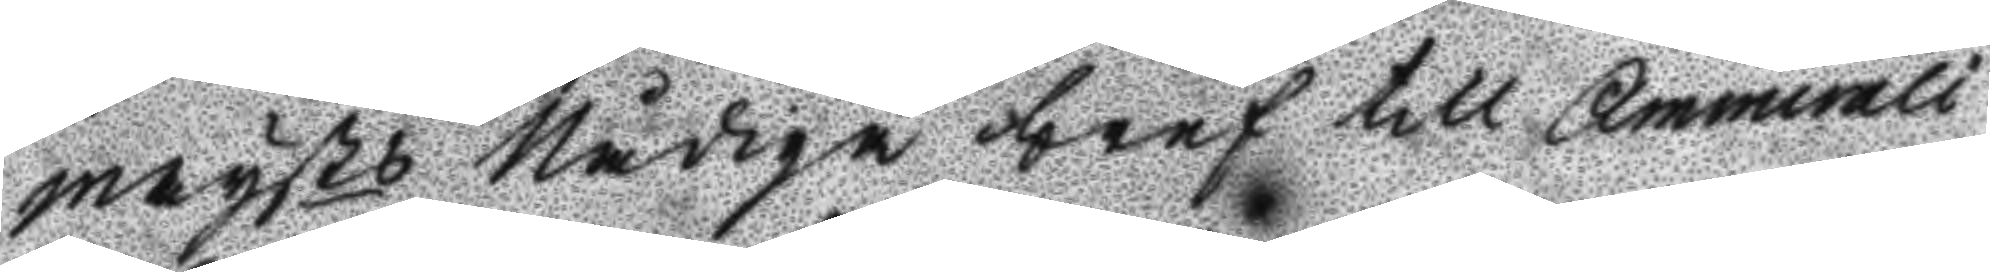mayts Nådige bref till Ammirali¬
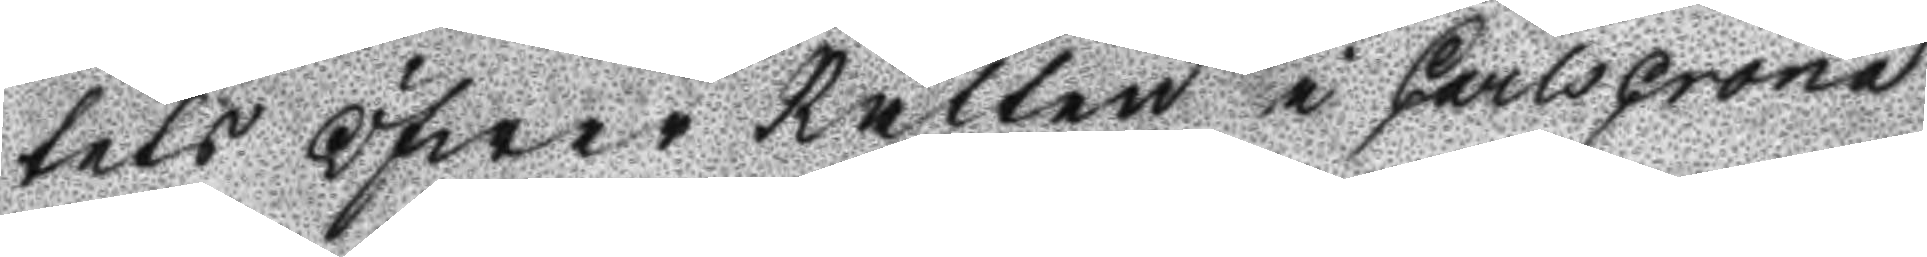tets Öfwer Rätten i Carlscrona
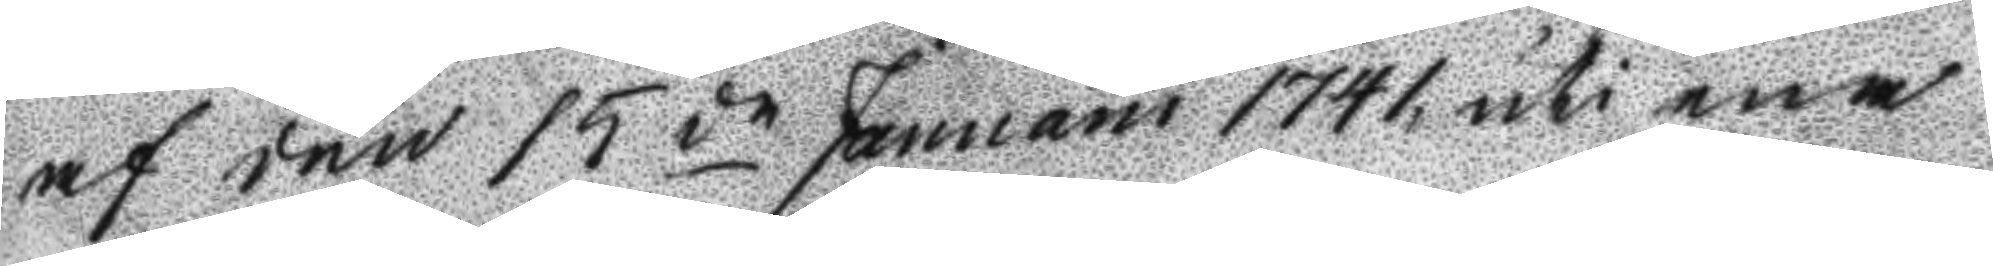af den 15de Januarii 1741 uti ena
